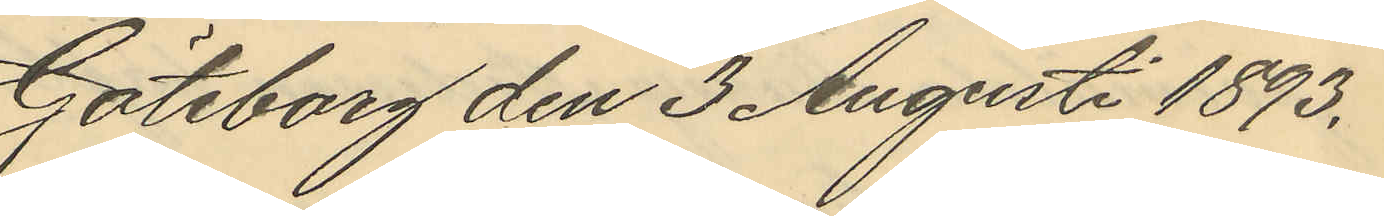Göteborg den 3 Augusti 1893.
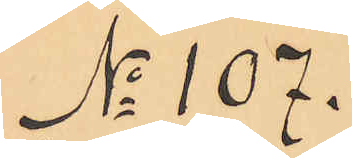No 107.
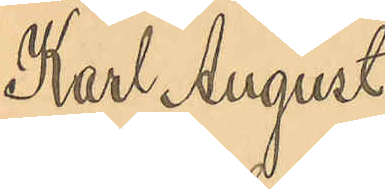Karl August
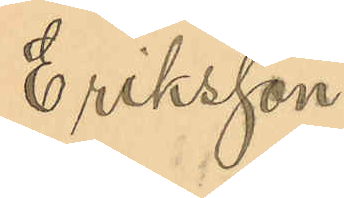Eriksson
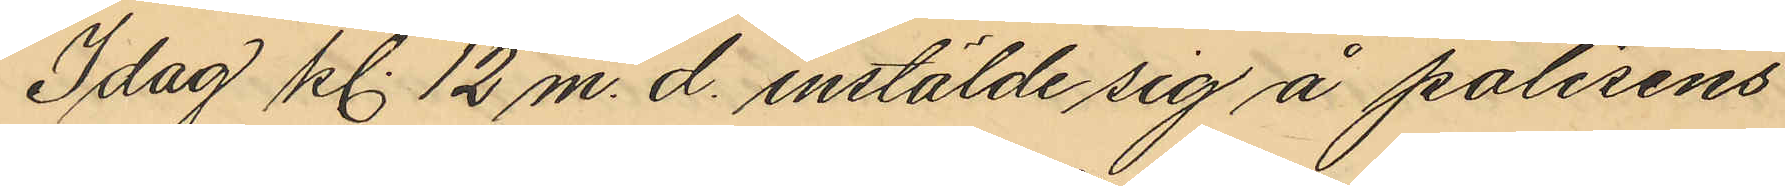Idag kl. 12 m. d. instälde sig å polisens
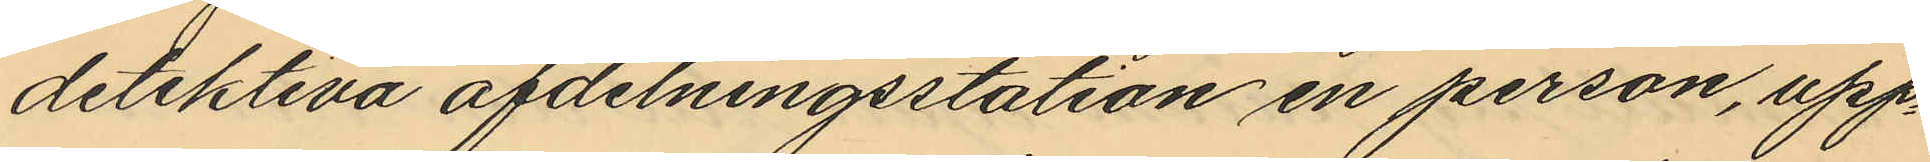detektiva afdelningsstation en person, upp¬
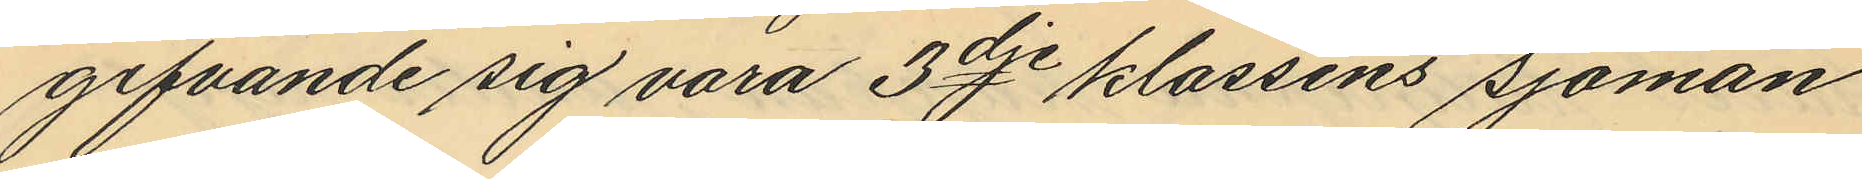gifvande sig vara 3dje klassens sjöman
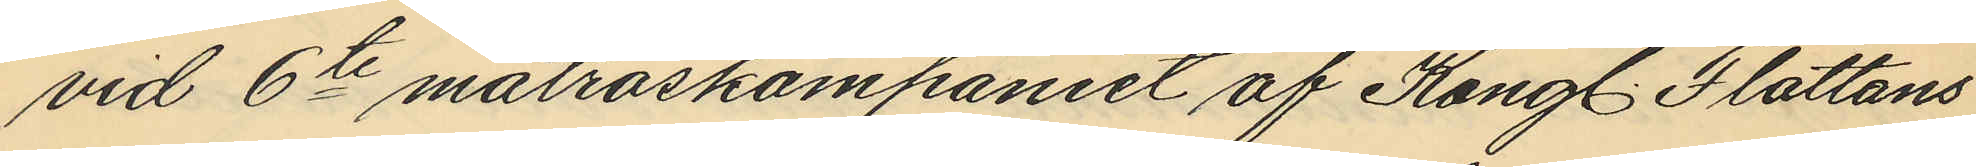vid 6te matroskompaniet af Kongl. Flottans
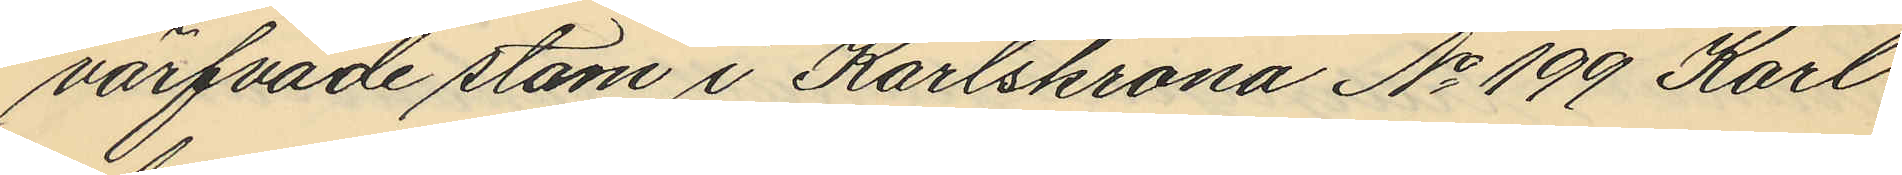värfvade stam i Karlskrona No 199 Karl
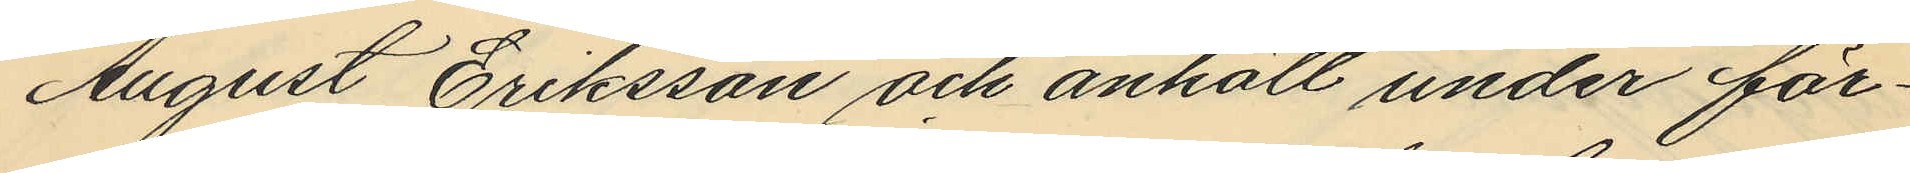August Eriksson och anhöll under för¬
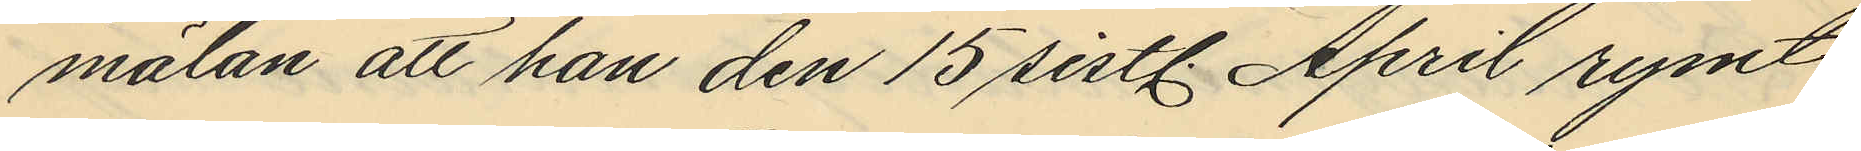mälan att han den 15 sistl. April rymt
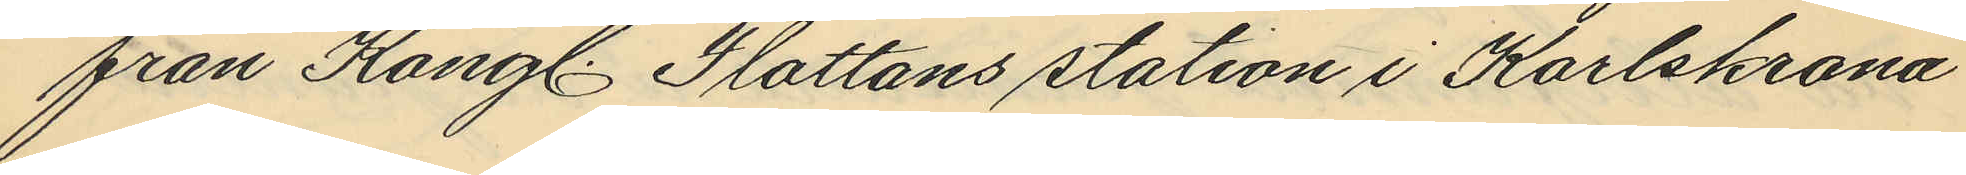från Kongl. Flottans station i Karlskrona
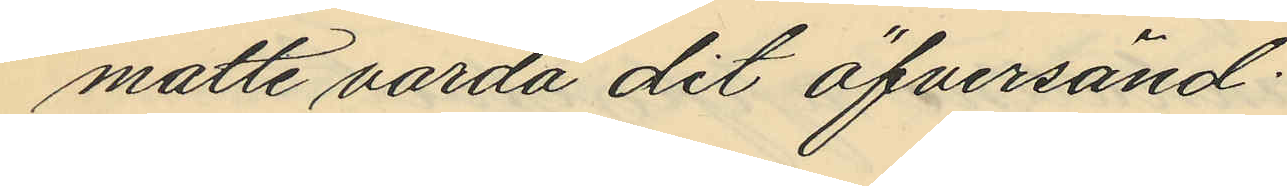matte varda dit öfversänd:
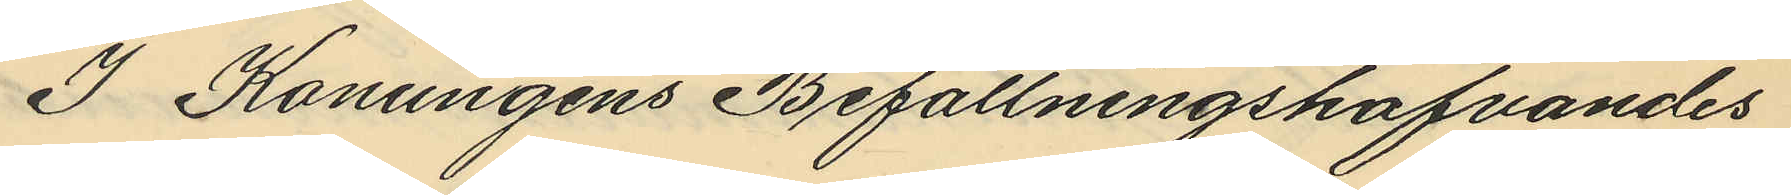I Konungens Befattningshafvandes
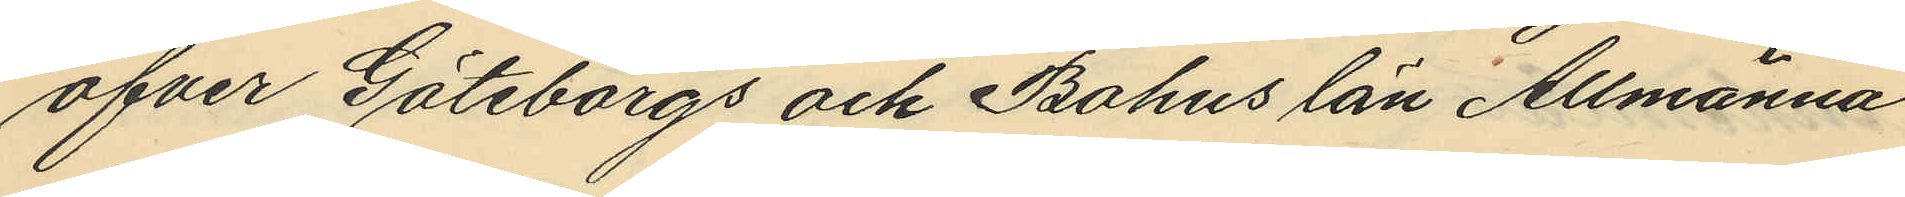öfver Göteborgs och Bohus län Allmänna
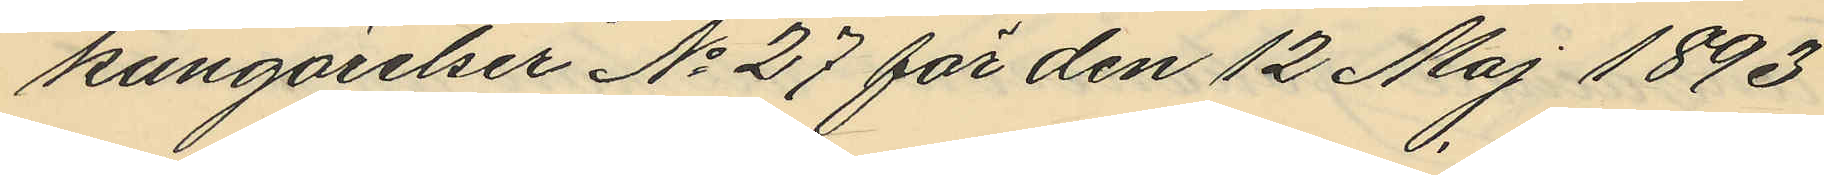kungörelser No 27 för den 12 Maj 1893
